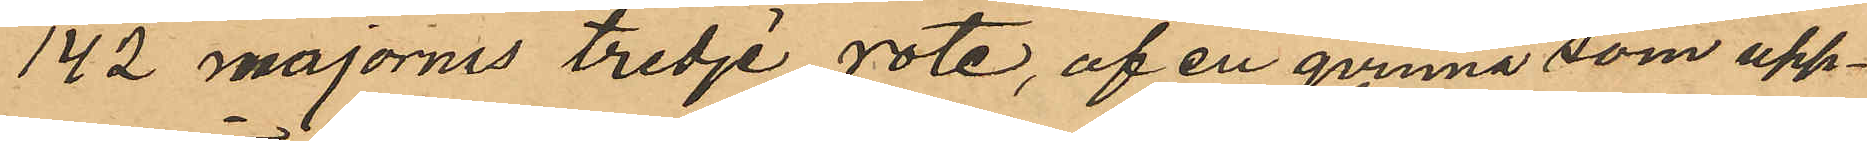142 majornes tredje rote, af en qvinna som upp¬
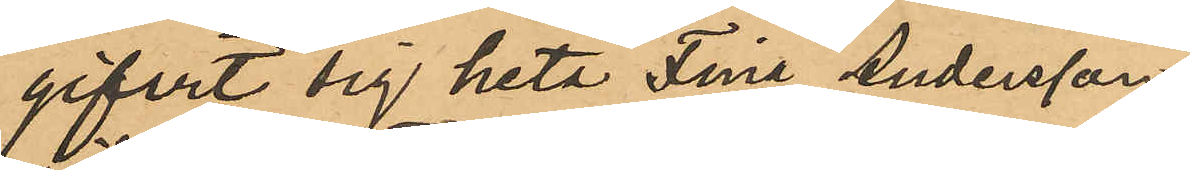gifvit sig heta Fina Andersson
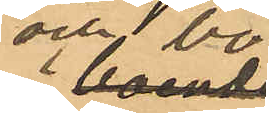och bo
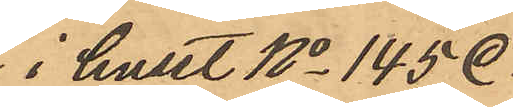i huset No 145.
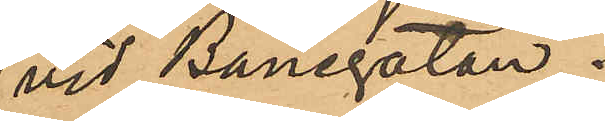vid Banegatan.
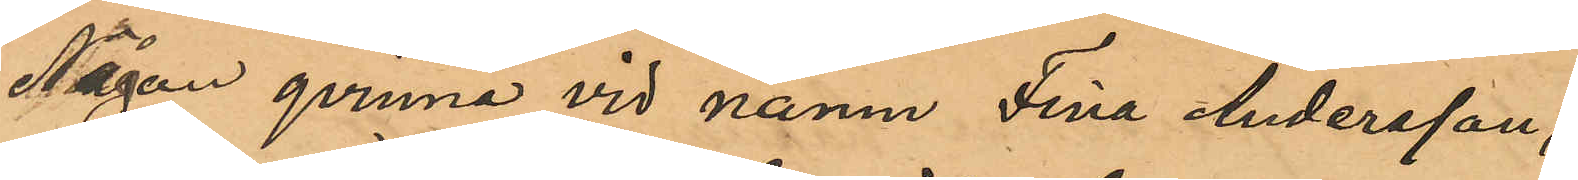Någon qvinna vid namn Fina Andersson,
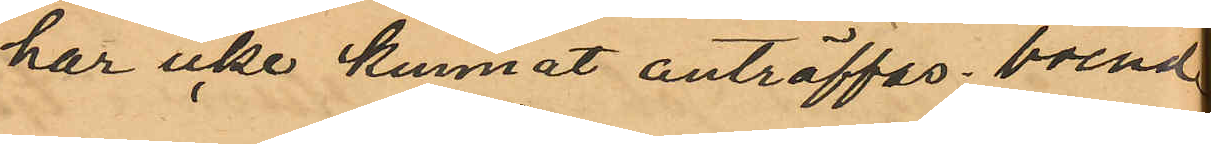har icke kunnat anträffas, boende
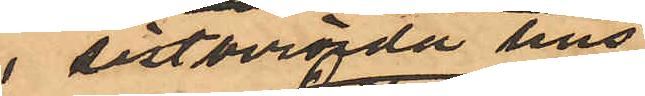i sistberörda hus.
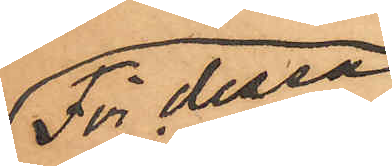För dessa
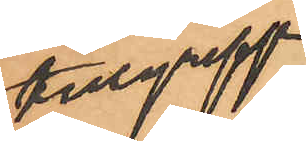tillgrepp
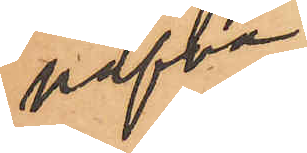hafva
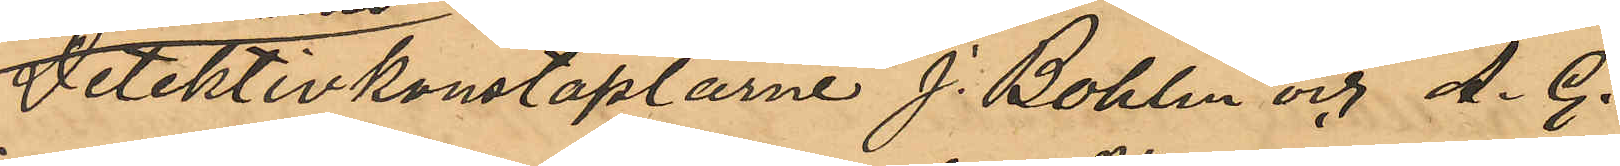Detektivkonstaplarne J. Bohlin och A. G.
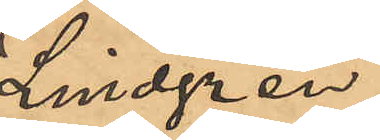Lindgren
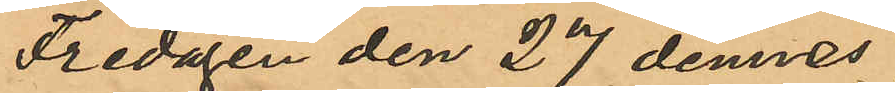Fredagen den 27 dennes
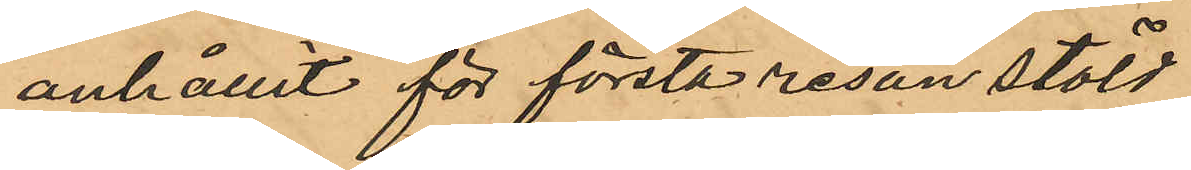anhållit för första resan stöld
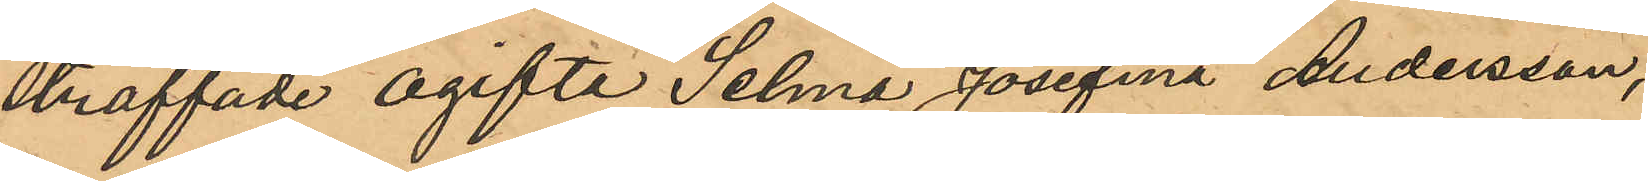straffade ogifta Selma Josefina Andersson,
